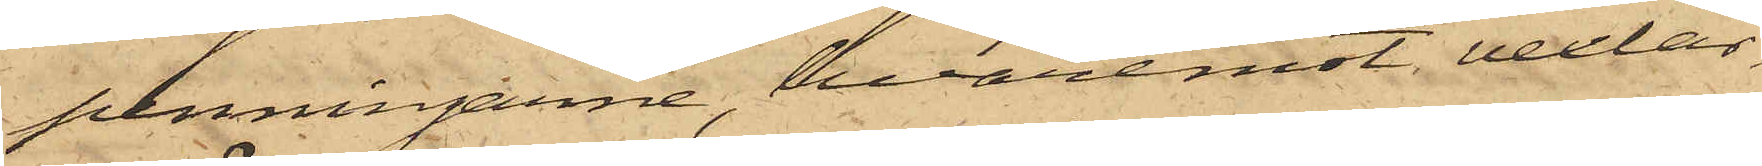penningarne, hvaremot vexlar¬
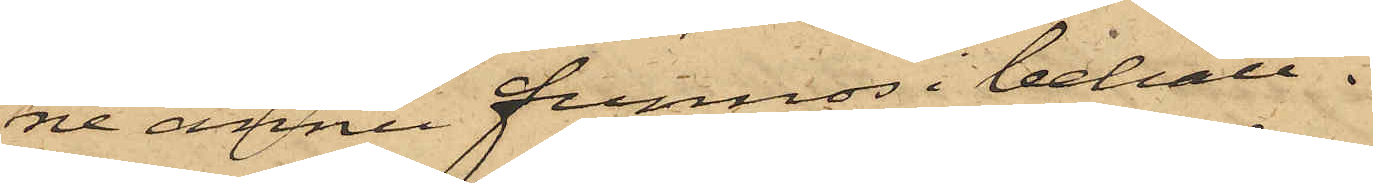ne ännu funnos i behåll.
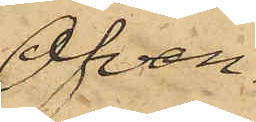Ofvan¬
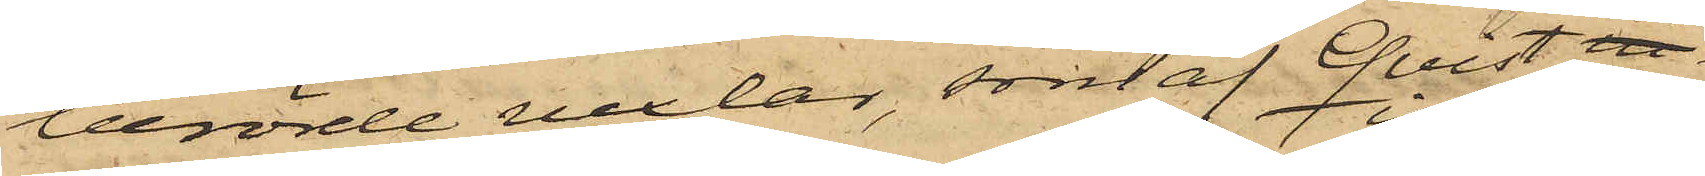berörde vexlar, samt af Qvist in¬
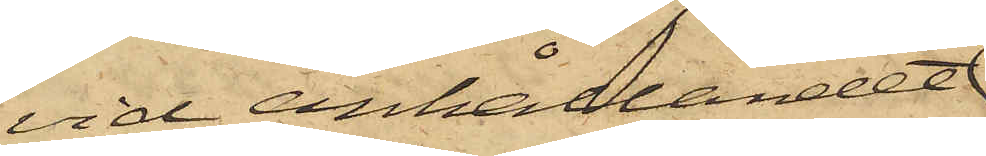vid anhållandet
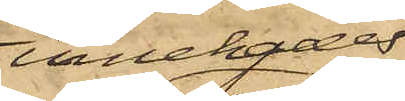innehades,
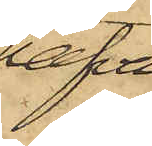hafva
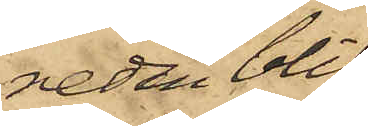redan blif¬
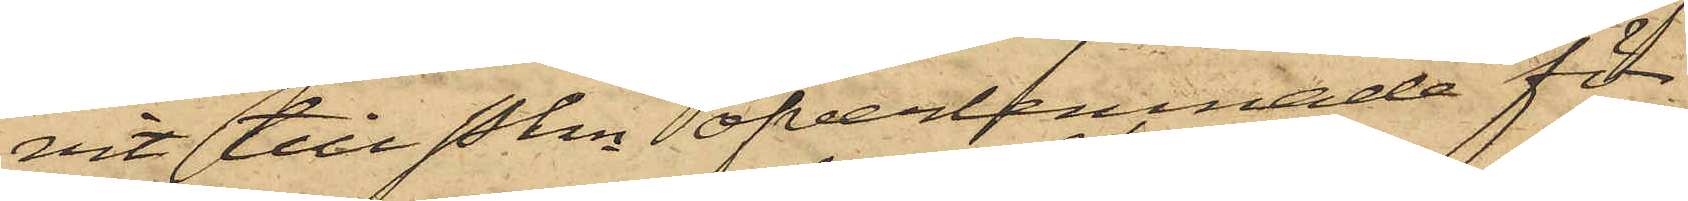vit till Pkn öfverlemnade för
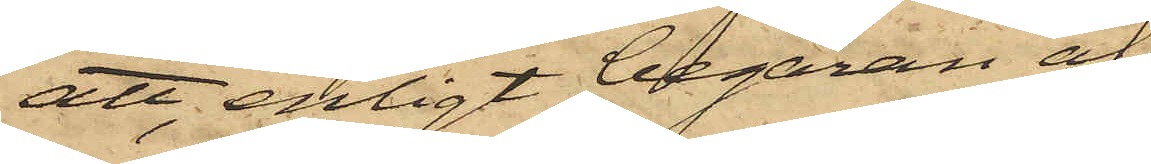att, enligt begäran af
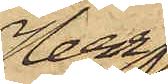Herr
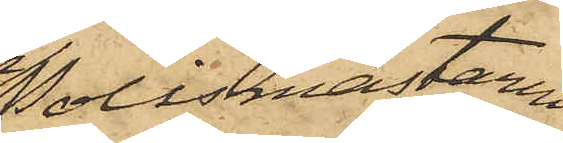Polismästaren
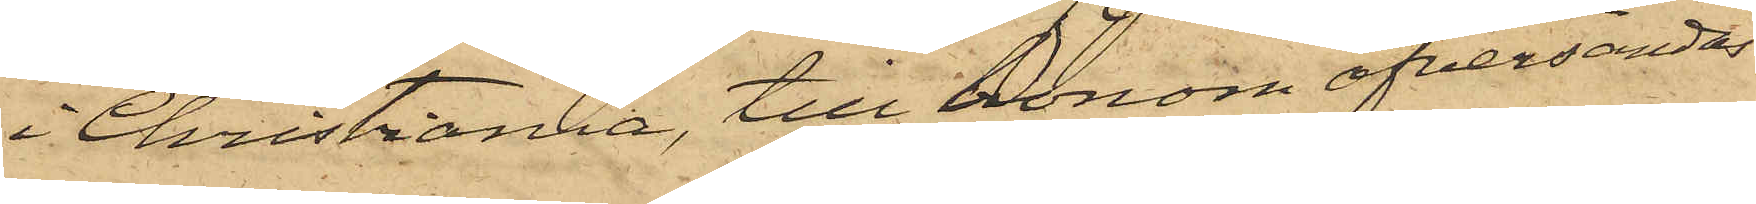i Christiania, till honom öfversändas.
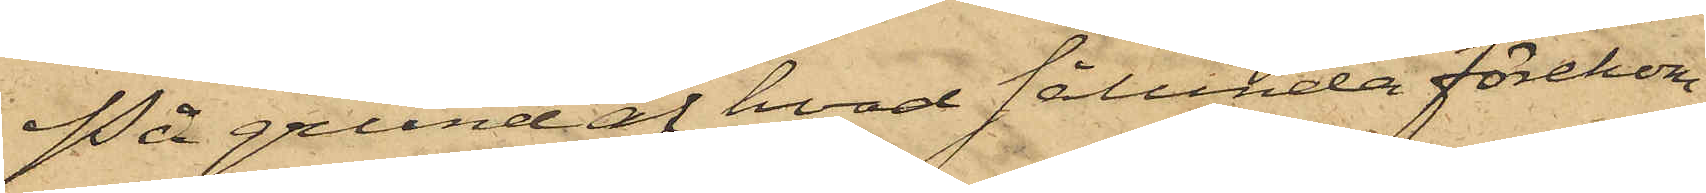På grund af hvad sålunda förekom¬
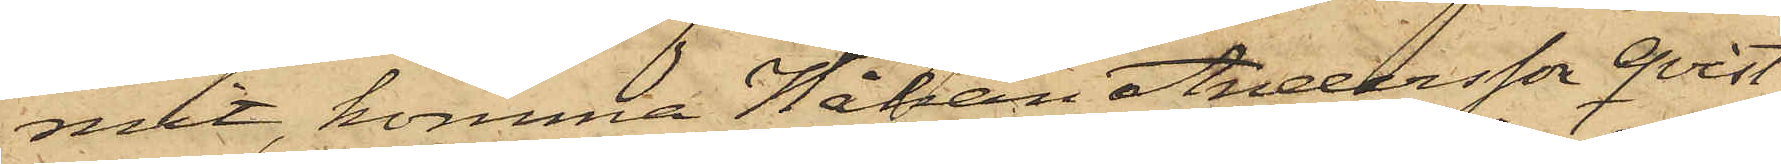mit, komma Johan Andersson Qvist
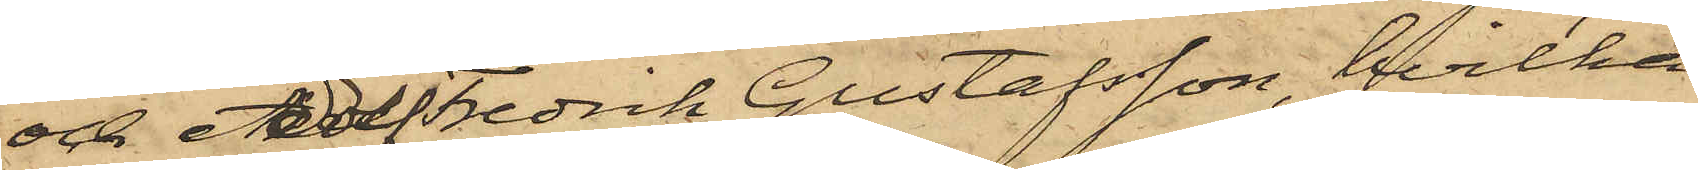och Adolf Fredrik Gustafsson, hvilka
